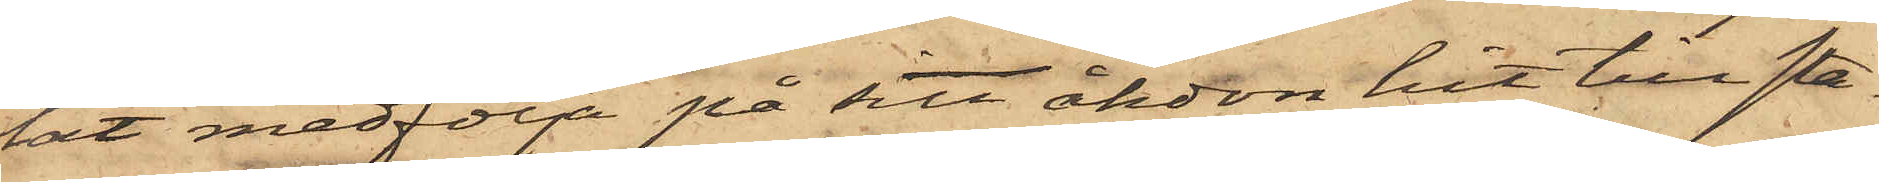lät medfölja på sitt åkdon hit till sta¬
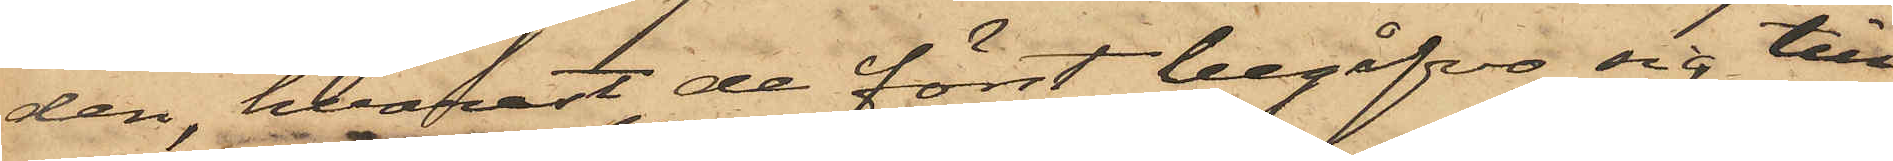den, hvarest de först begåfvo sig till
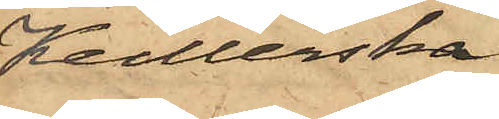Keillerska
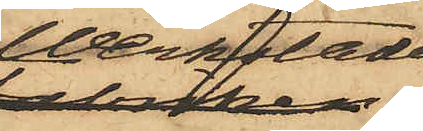Werkstaden,
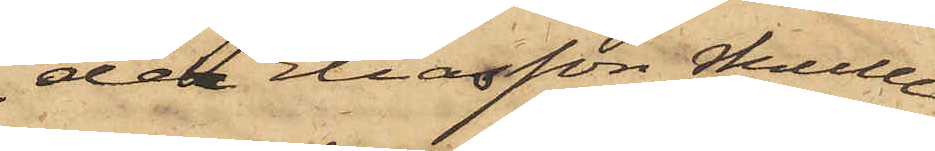der Eliasson skulle
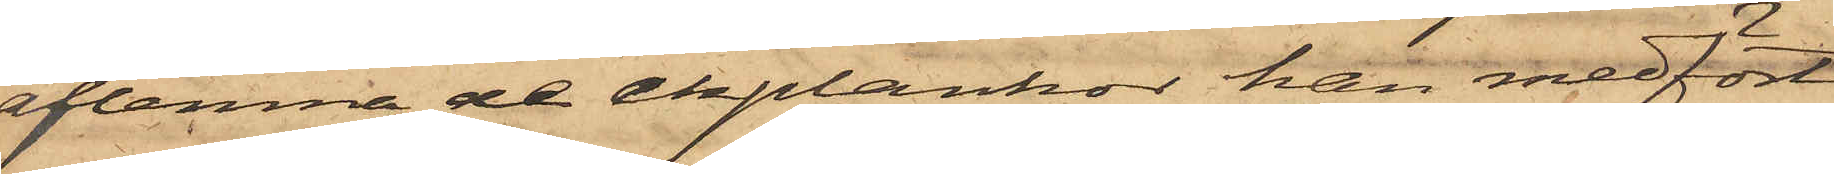aflemna de ekplankor han medfört
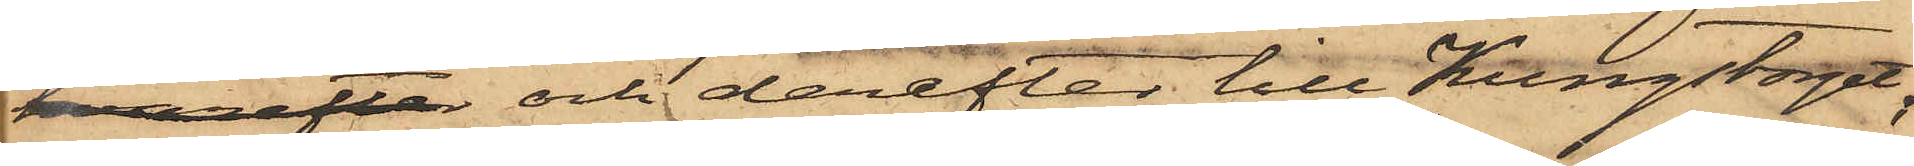hvarefter och derefter till Kungstorget;
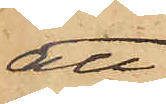att
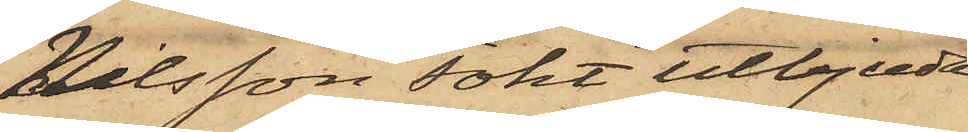Nilsson sökt utbjuda
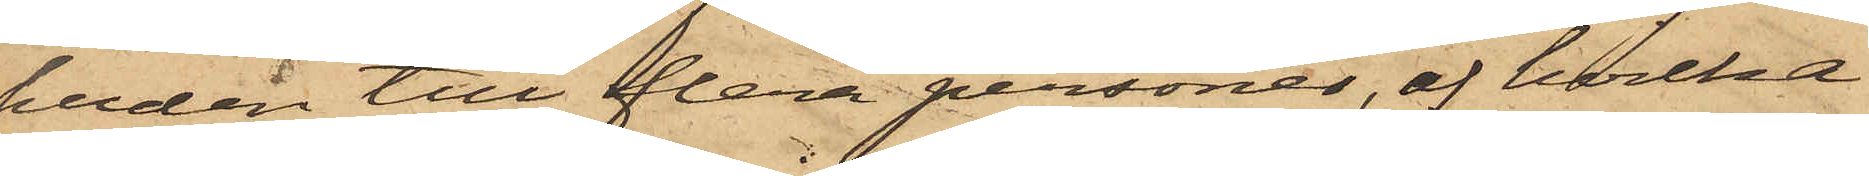huden till flera personer, af hvilken
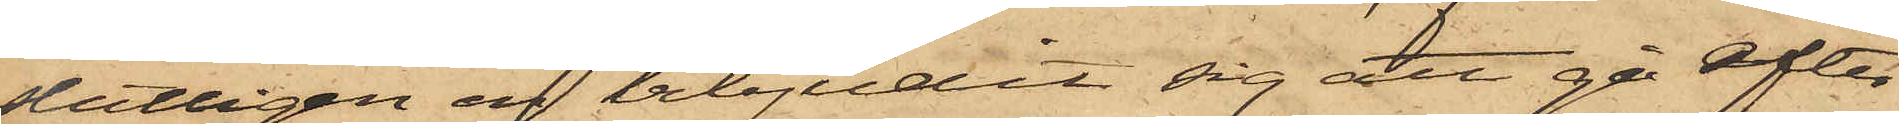slutligen en erbjudit sig att gå efter
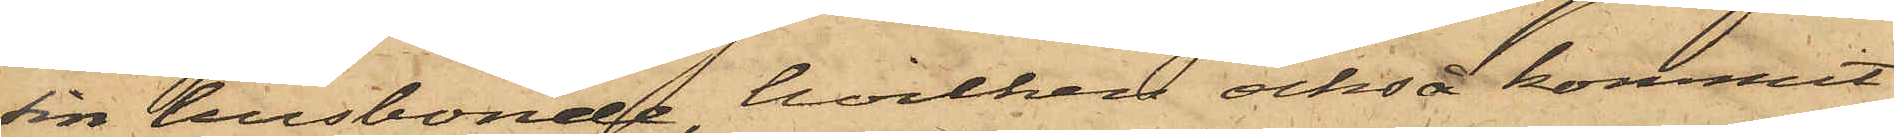sin husbonde, hvilken också kommit
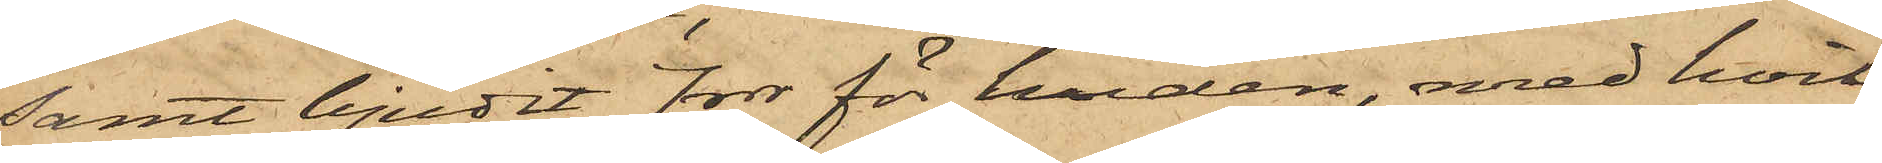samt bjudit 7 rdr för huden, med hvil¬
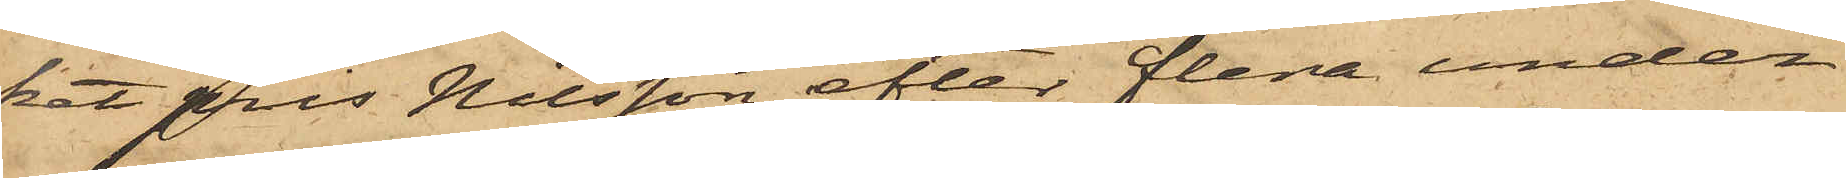ket pris Nilsson efter flera under¬
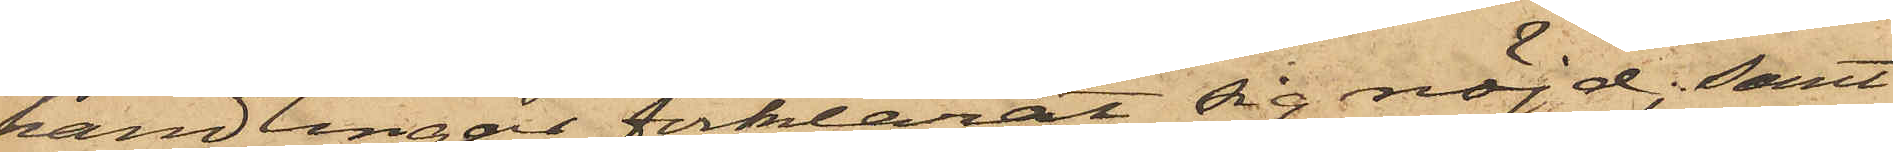handlingar förklarat sig nöjd; samt
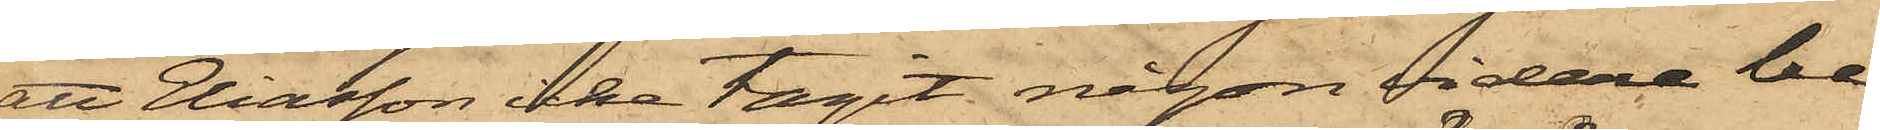att Eliasson icke tagit någon vidare be¬
